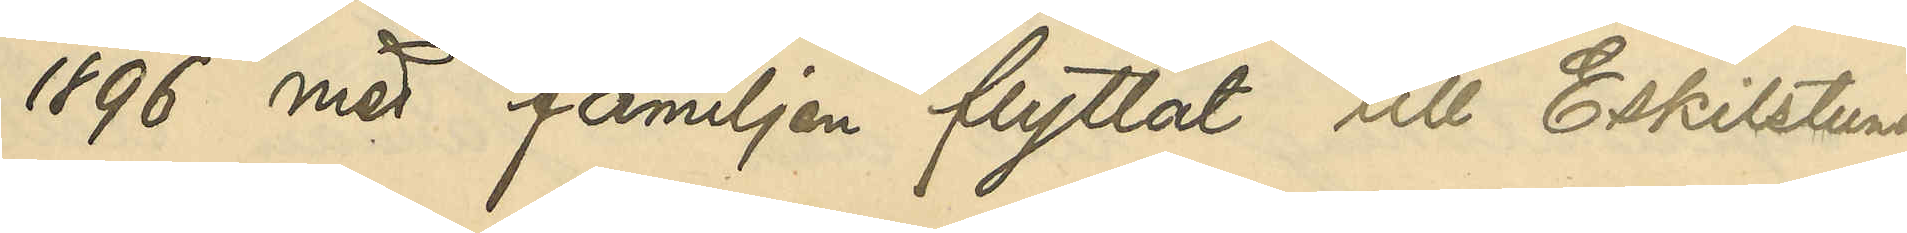1896 med familjen flyttat till Eskilstuna,
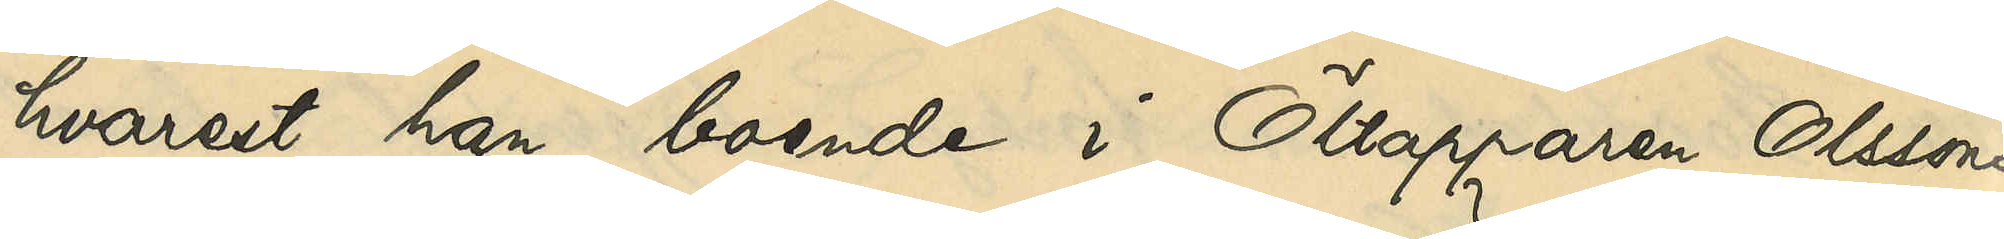hvarest han, boende i Öltapparen Olssons
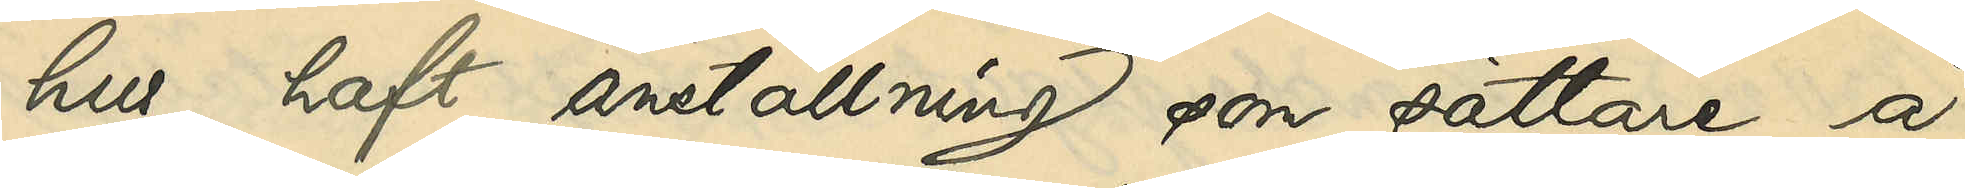hus, haft anställning som sättare å
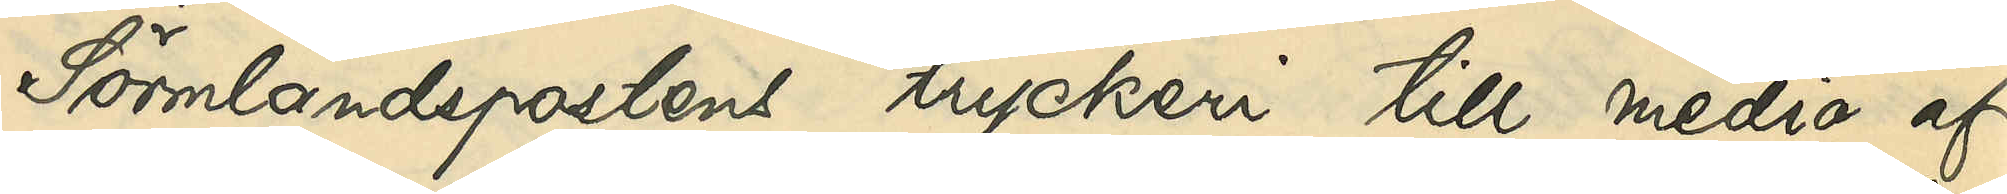Sörmlandspostens tryckeri till medio af
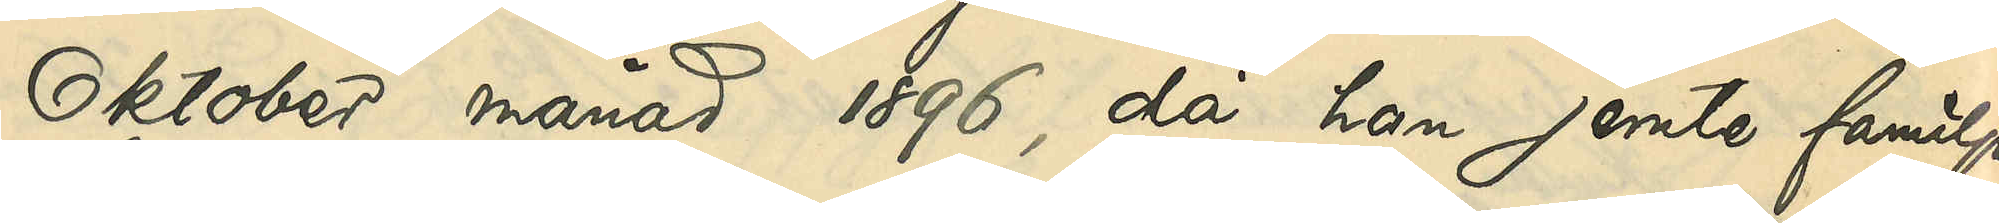Oktober månad 1896, då han jemte familjen
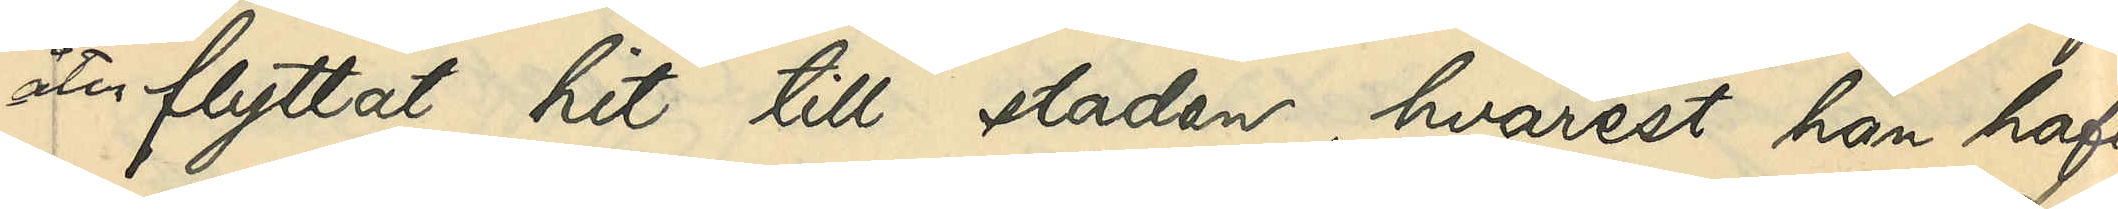återflyttat hit till staden, hvarest han haft
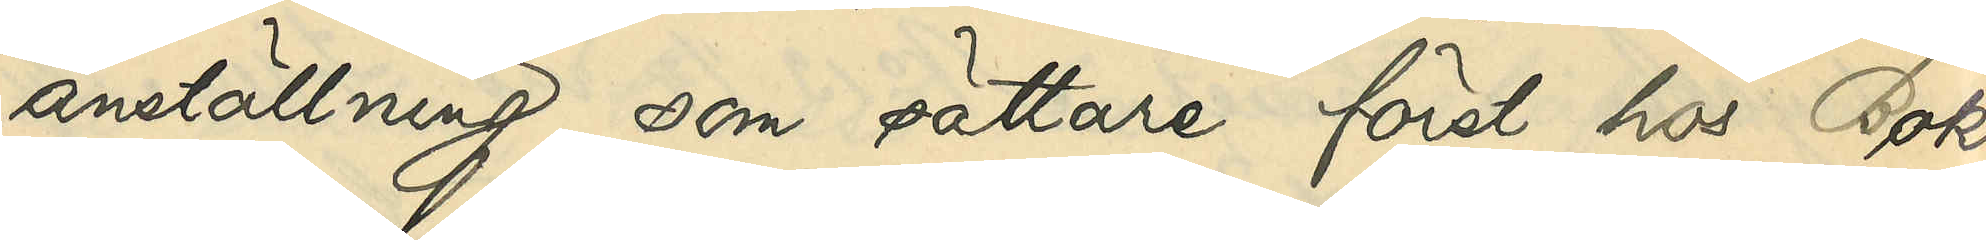anställning som sättare först hos Bok¬
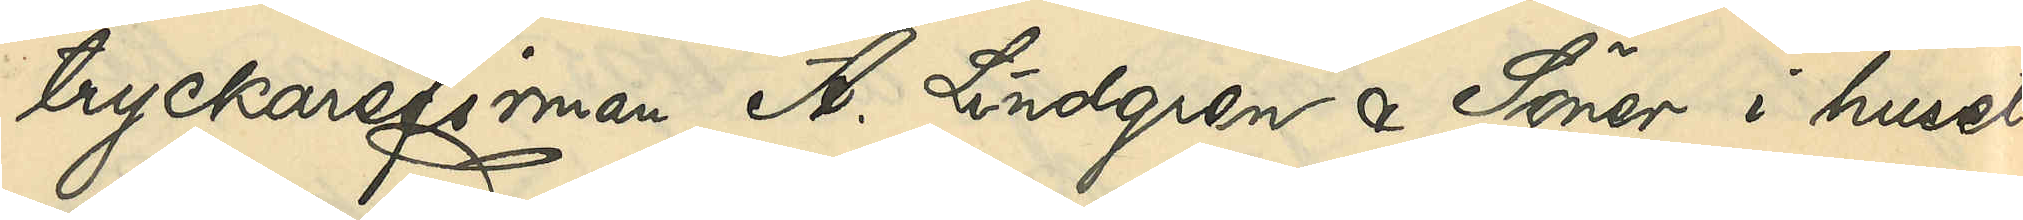tryckarefirman A. Lindgren & Söner i huset
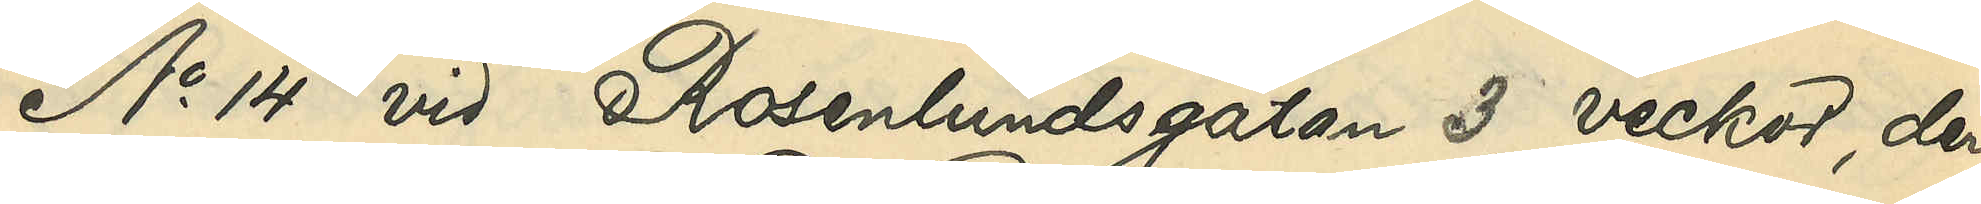No 14 vid Rosenlundsgatan 3 veckor, der¬
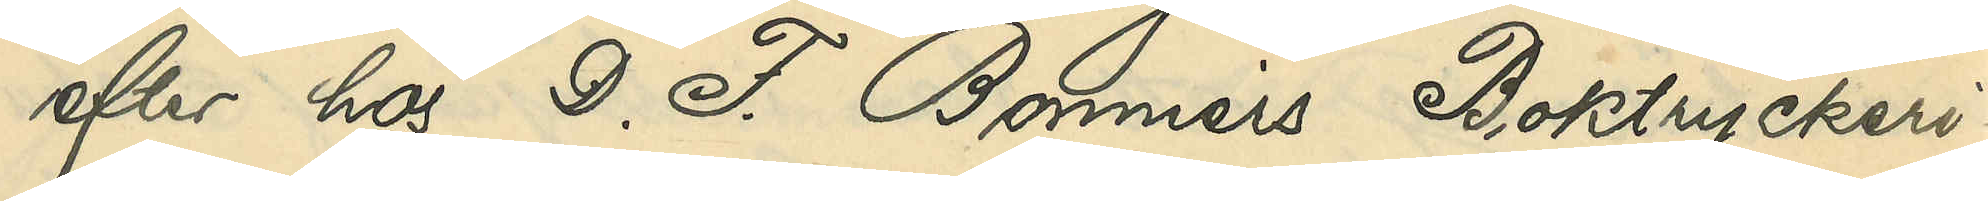efter hos D. F. Bonniers Boktryckeri¬
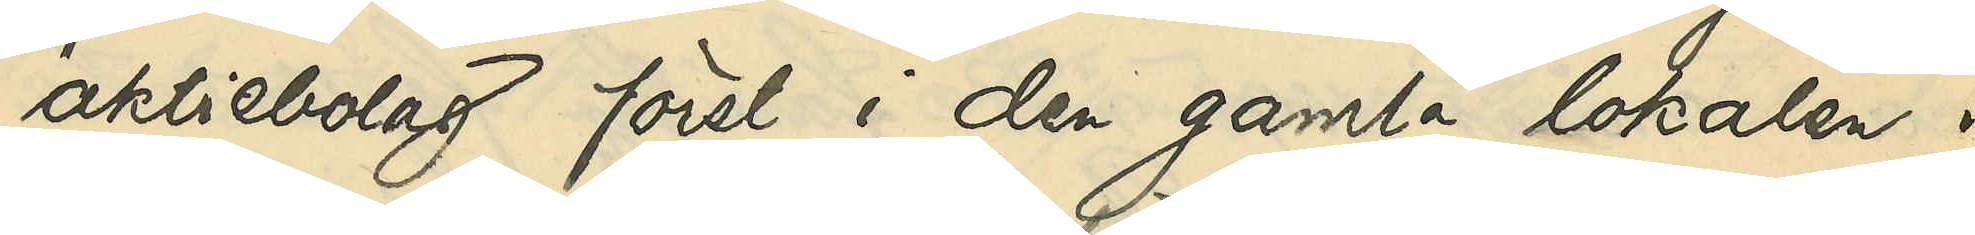aktiebolag först i den gamla lokalen i
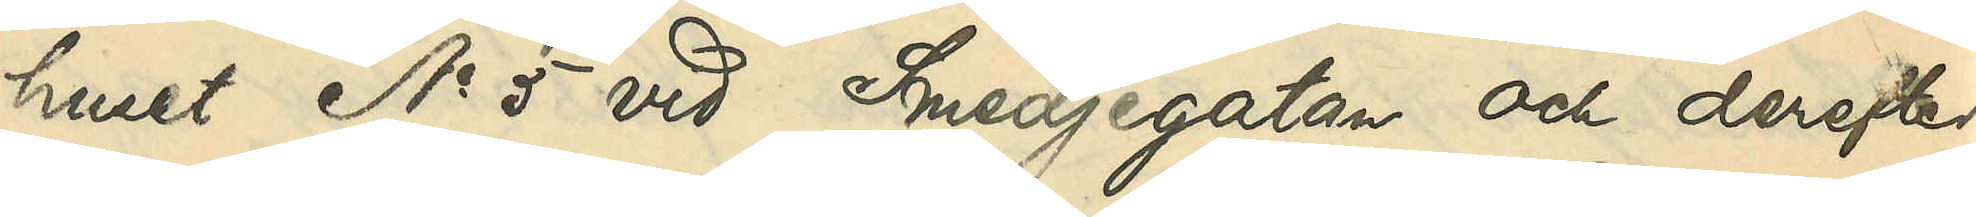huset No 5 vid Smedjegatan och derefter
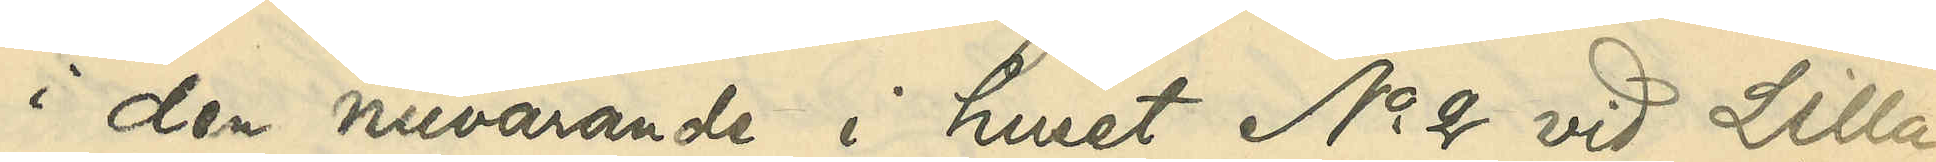i den nuvarande i huset No 2 vid Lilla
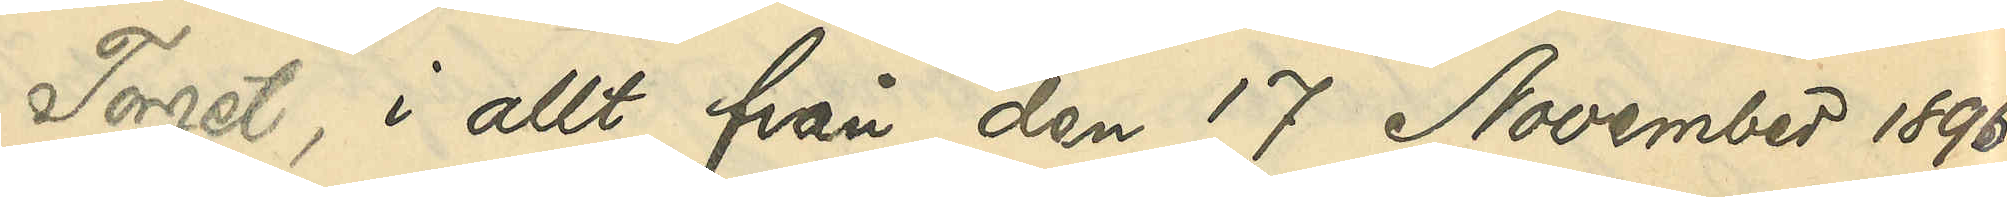Torget, i allt från den 17 November 1896
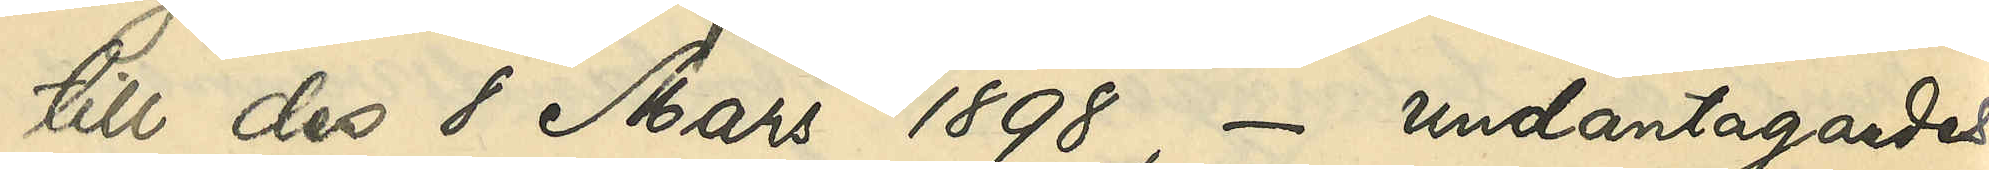till den 8 Mars 1898, - undantagandes
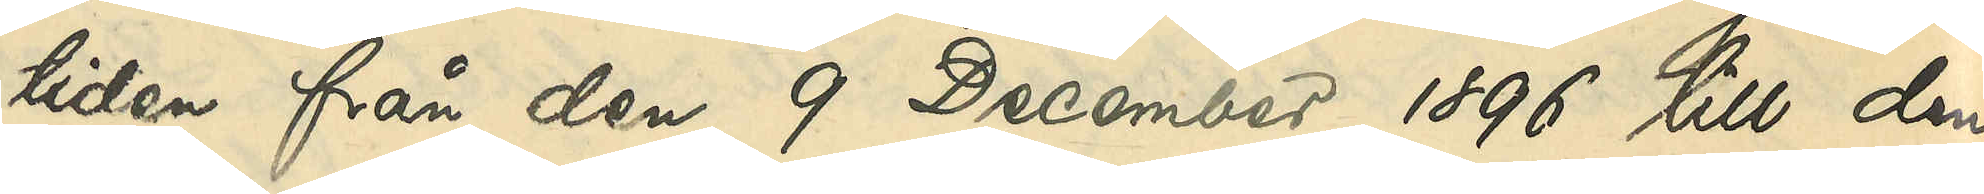tiden från den 9 December 1896 till den
